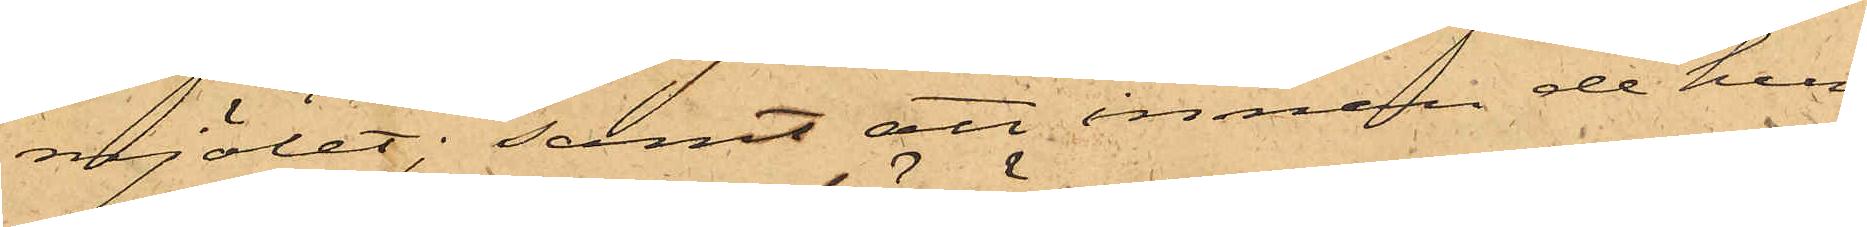mjölet; samt att innan de hun¬
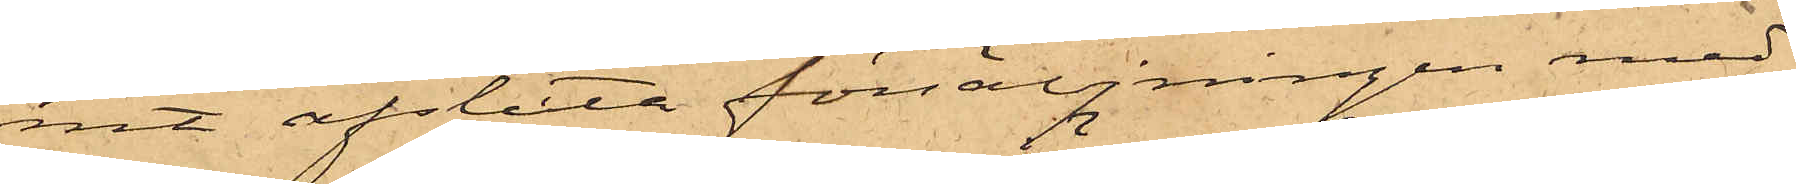nit afsluta försäljningen med
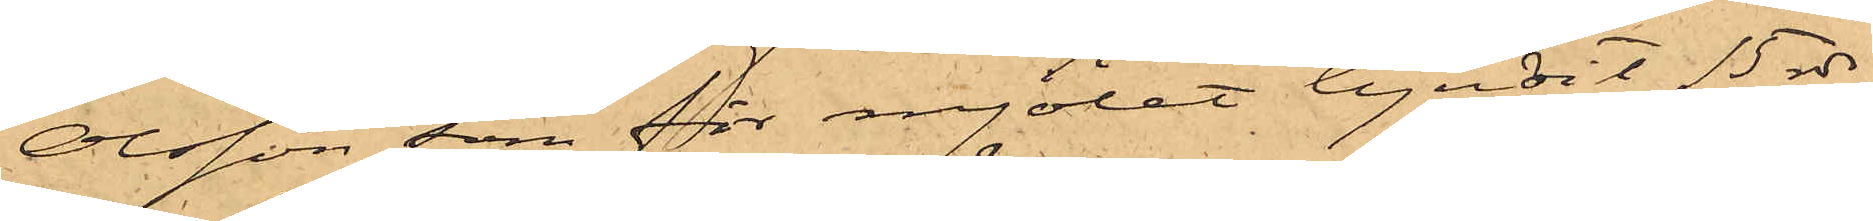Olsson, som för mjölet bjudit 15 rdr,
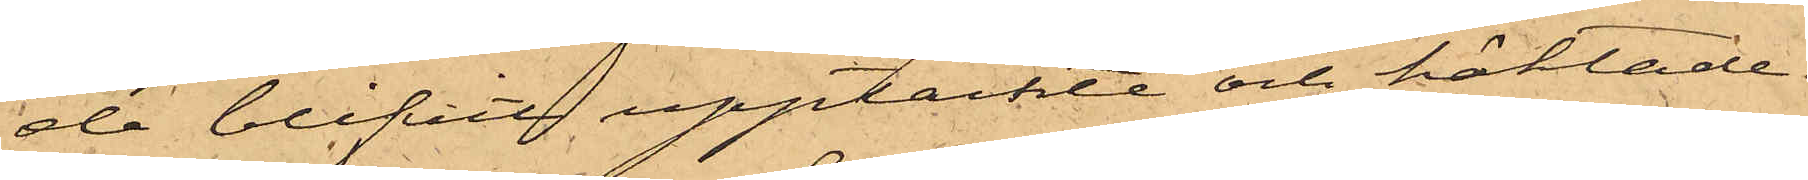de blifvit upptäckte och häktade.
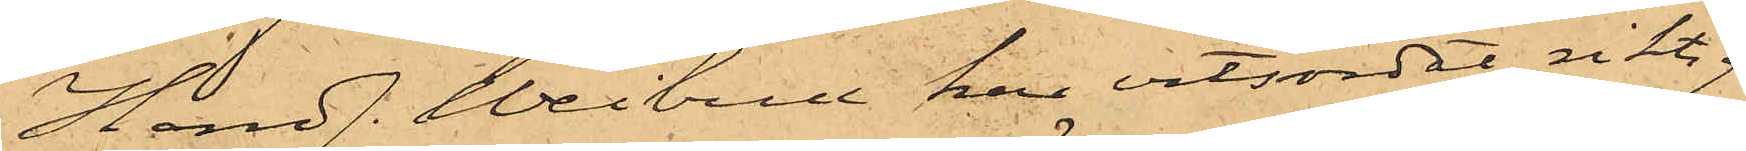Handl. Weibull har vitsordat riktig¬
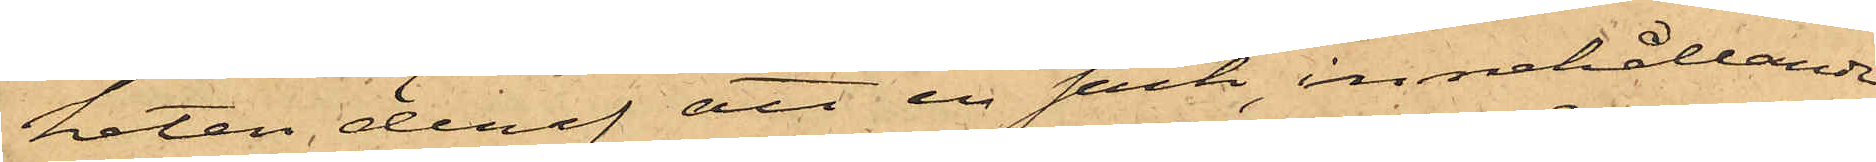heten deraf att en säck, innehållande
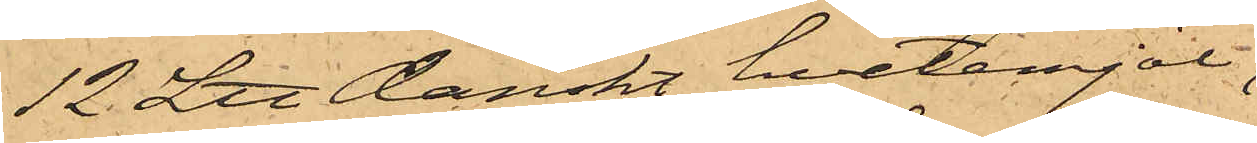12 L℔ Danskt hvetemjöl,
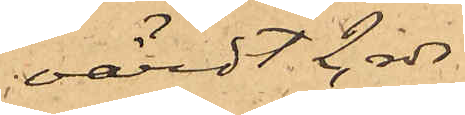värdt 2 rdr
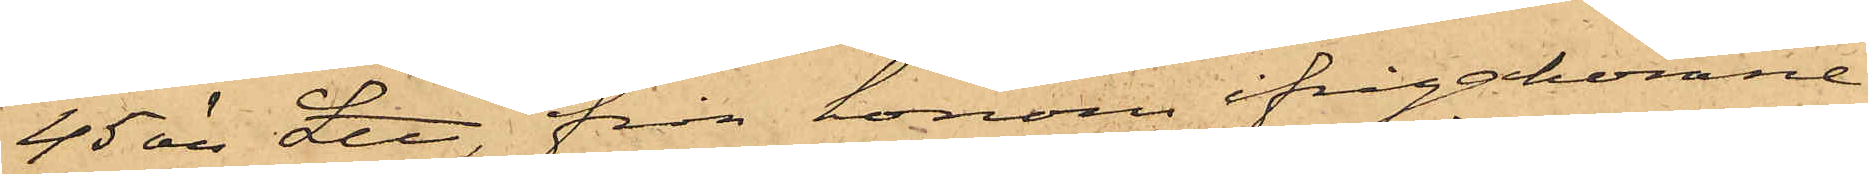45 öre L℔, från honom ifrågakomne
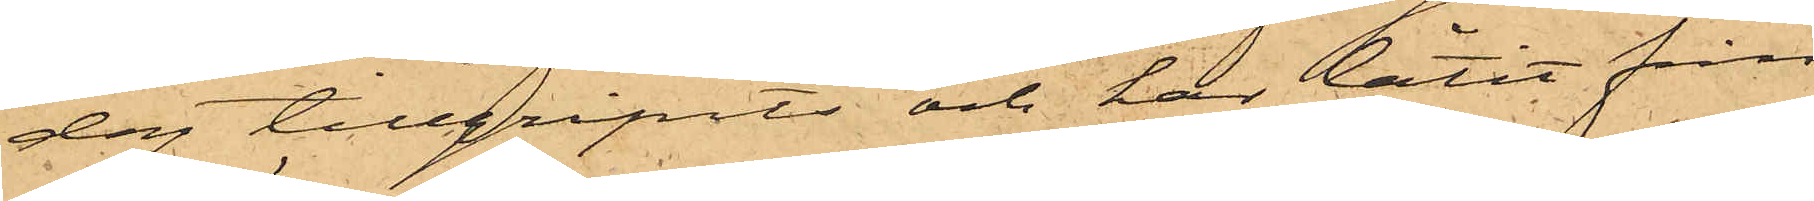dag tillgripits och har låtit från
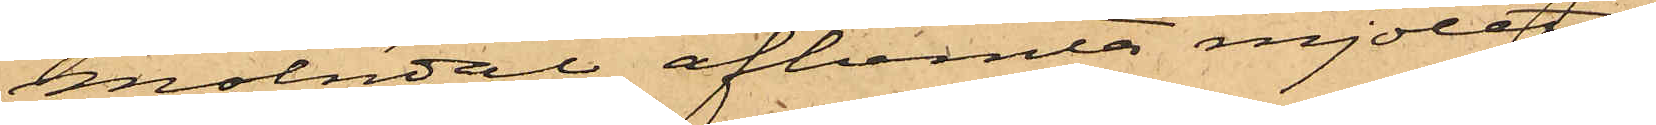Mölndal afhemta mjölet.
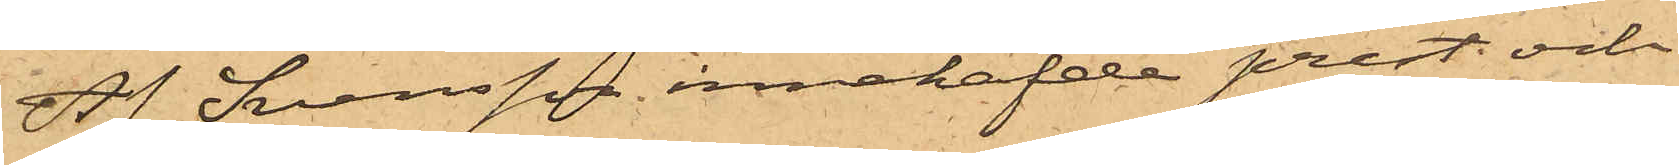Af Svensson innehafde prest och
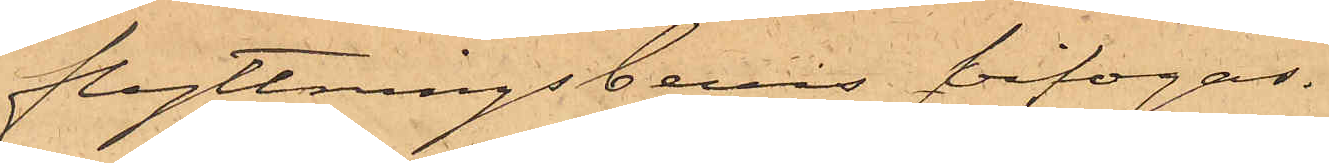flyttningsbevis bifogas.
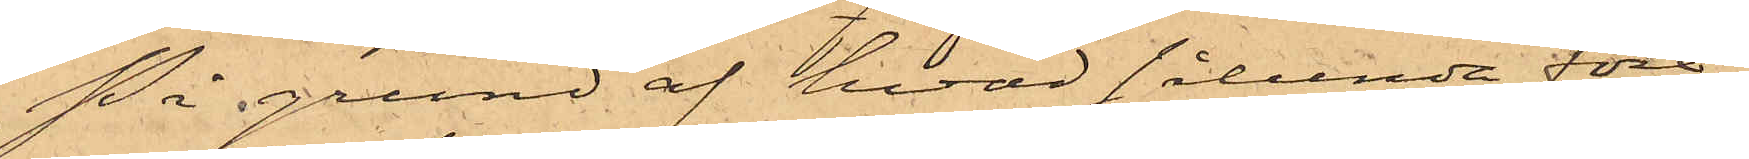På grund af hvad sålunda före¬
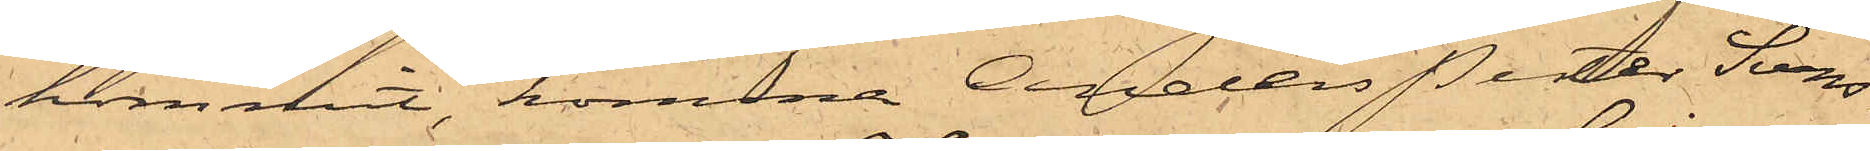kommit, komma Anders Petter Svens¬
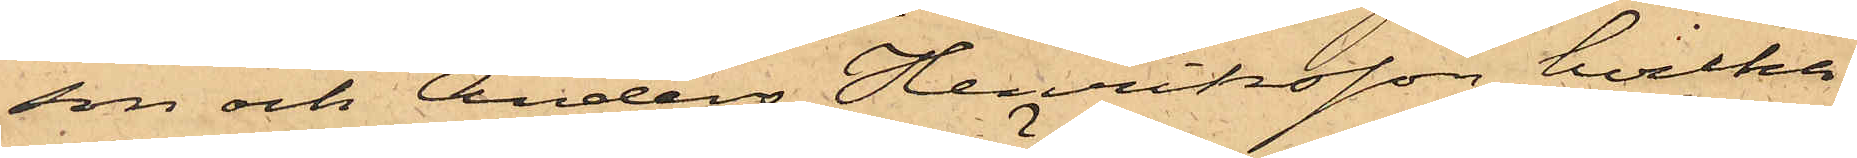son och Anders Henriksson, hvilka
